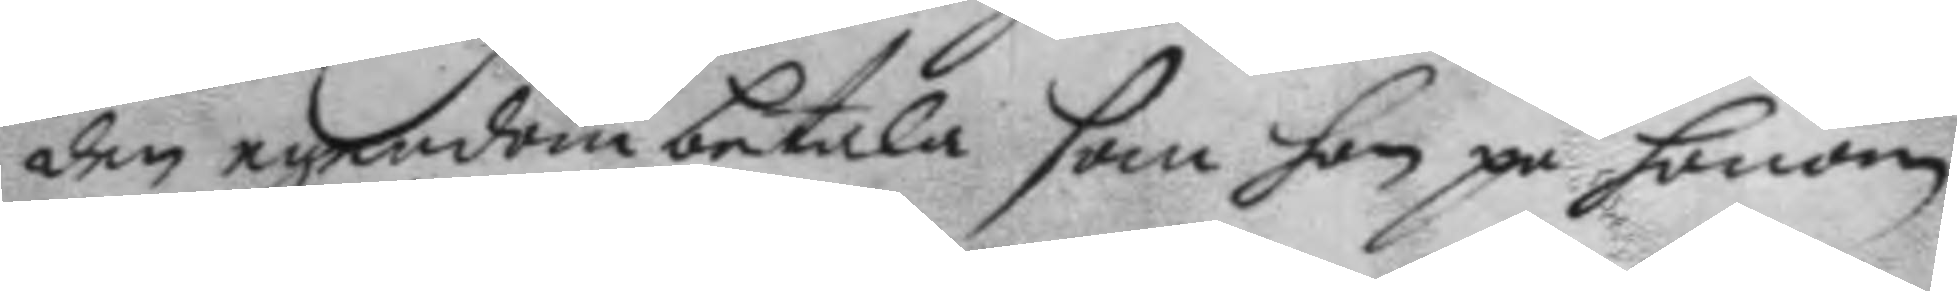den egendom betala som han på honom
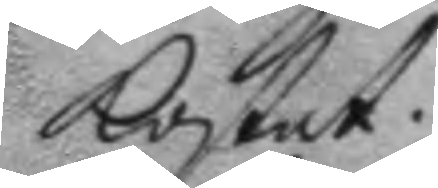kostat.
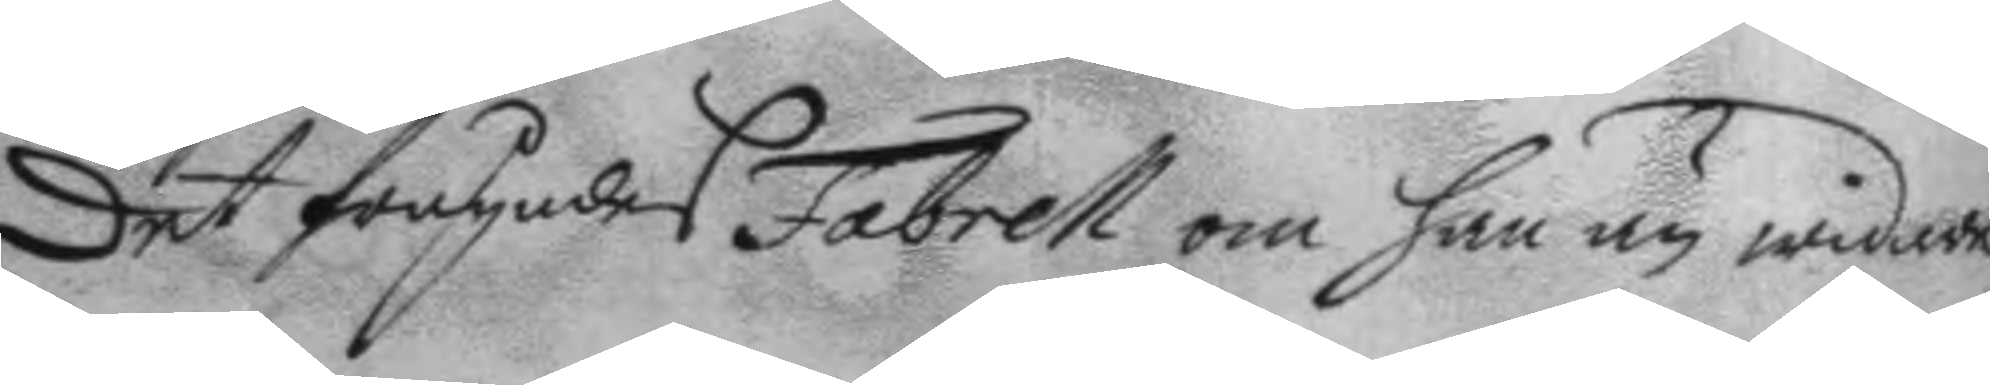det frågades Fabrell om han ey widare
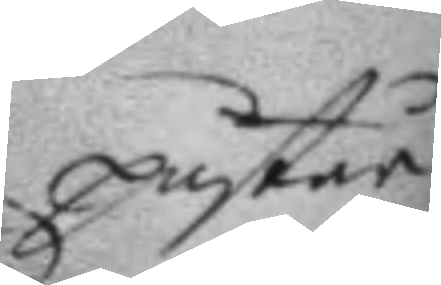påstår
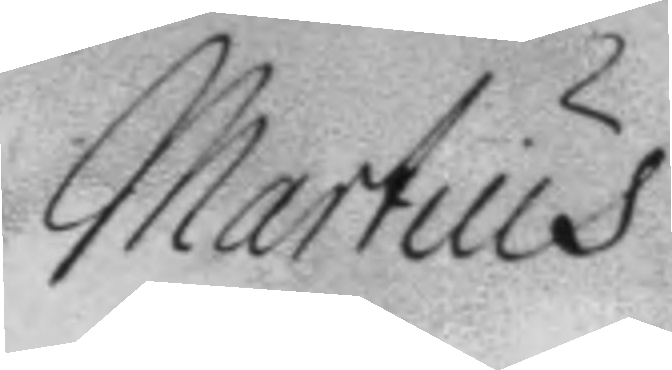Martius
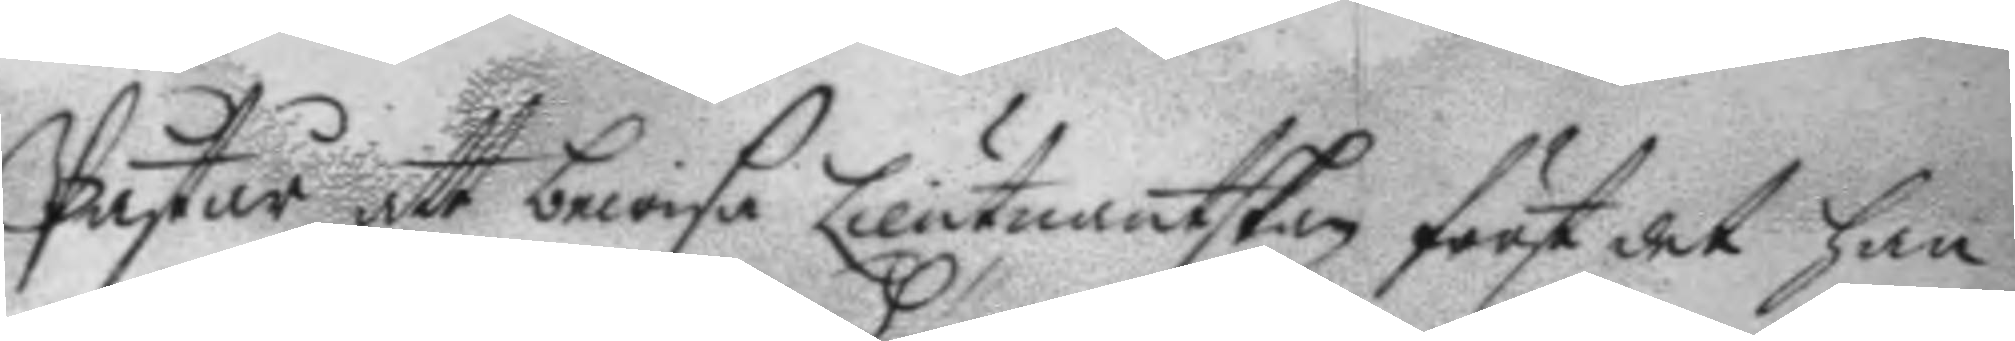Påstår att bewisa Lieutnantskan först det han
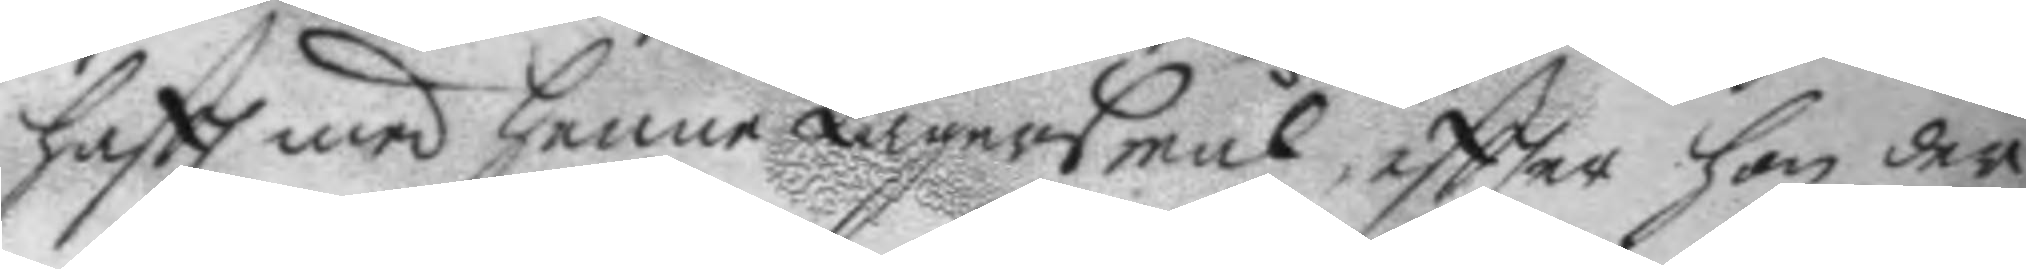haftt med henne Lägersmål, egtter hon der
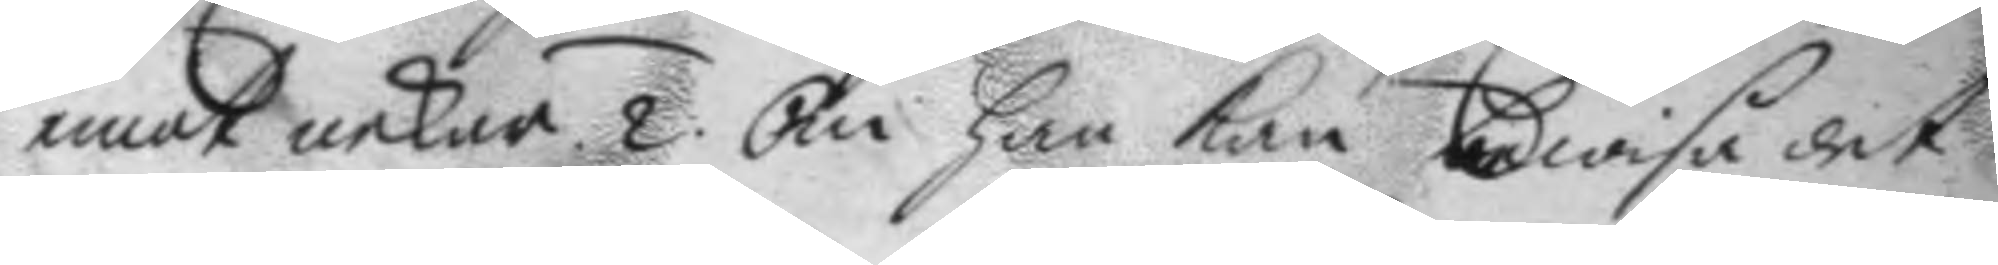emot nekar. 2. Om han kan bewisa det
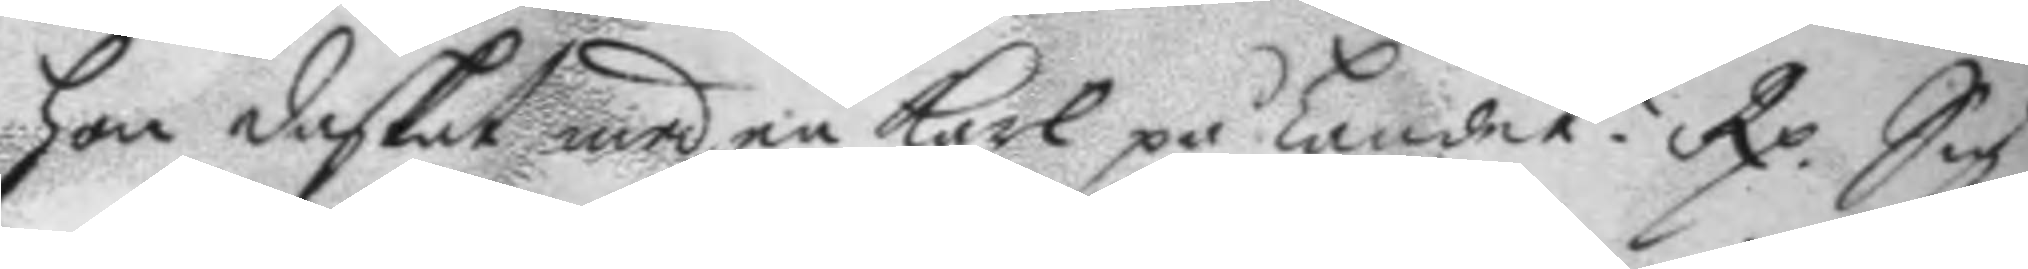hon daskat med en karl på landet? Rp. Sig
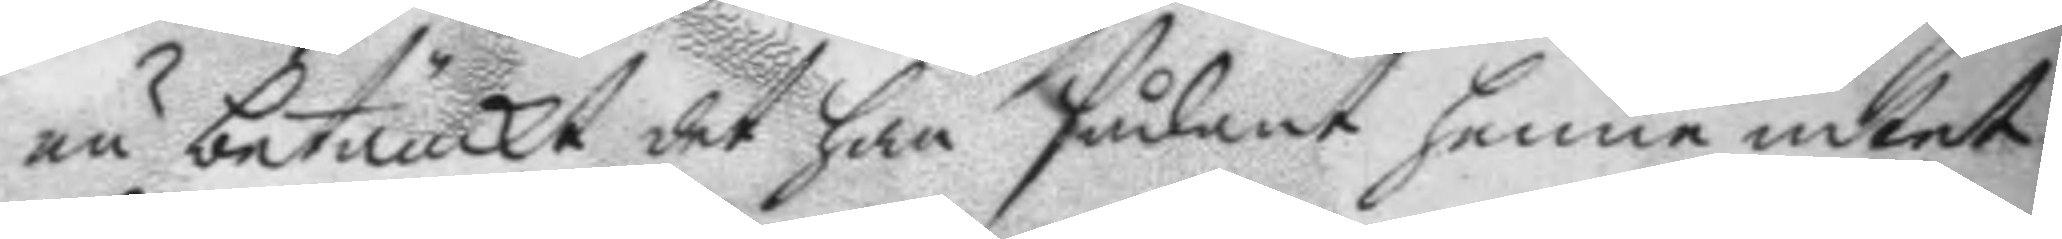nu betänckt det han sådant henne intet
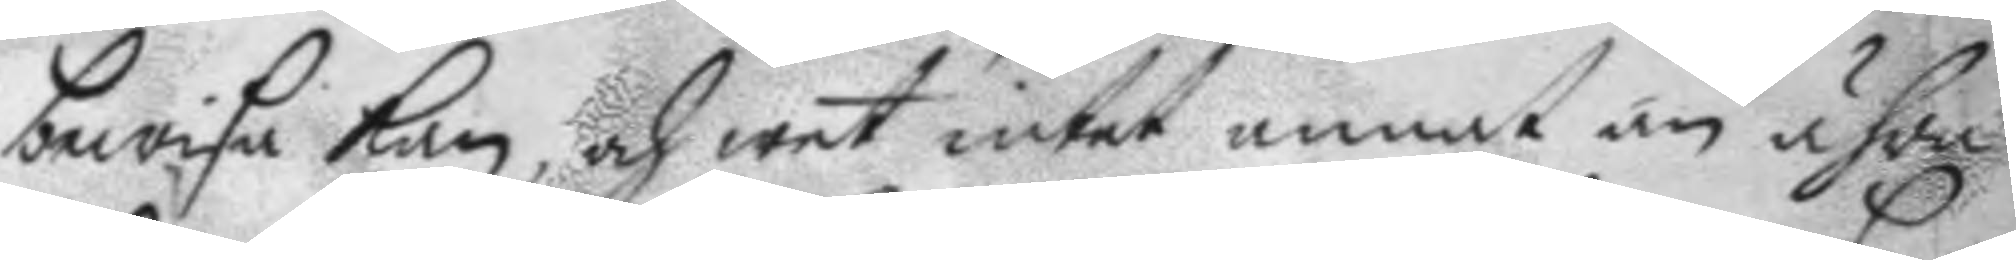bewisa kan, och wet intet annat än ähra
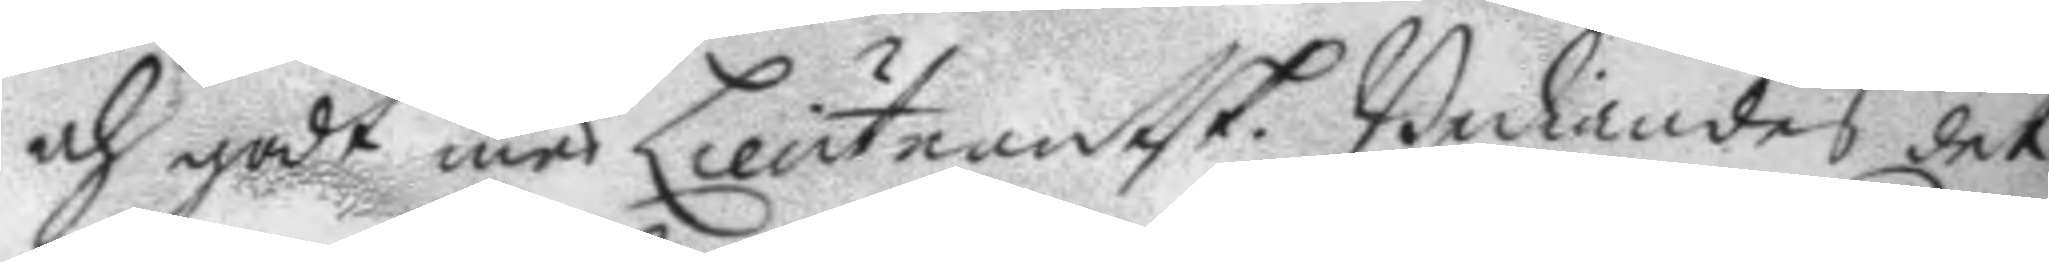och godt med Lieutnantsk. Bediandes det
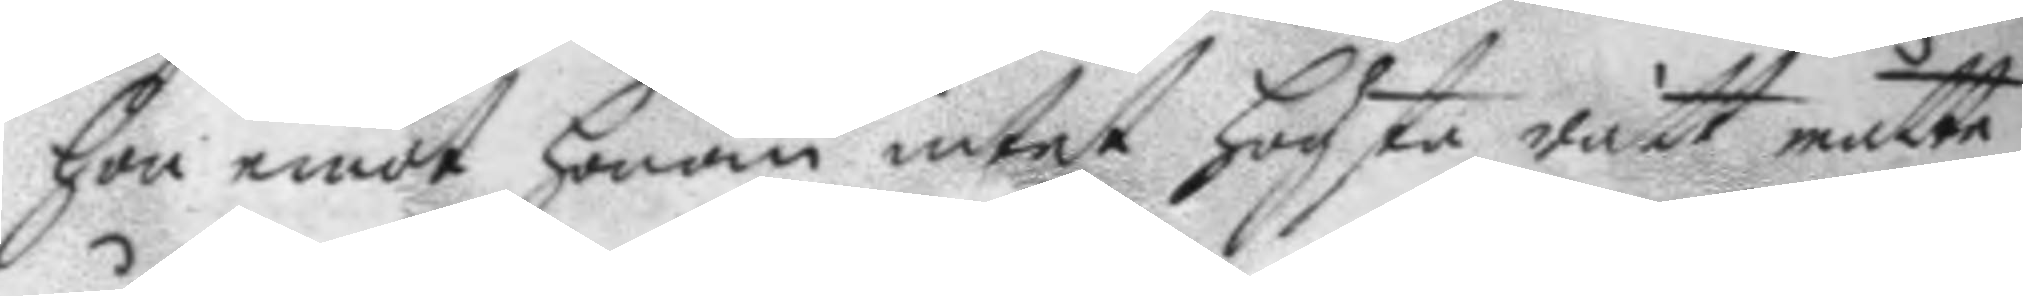hon emot honom intet högsta rätt måtte
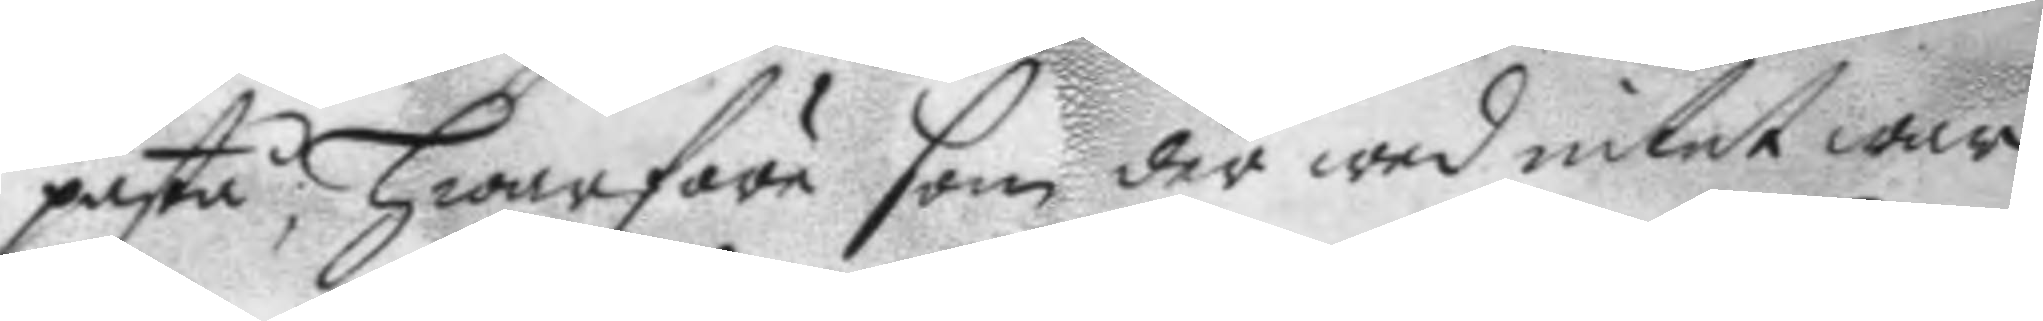påstå; hwarföre som der wed intet war
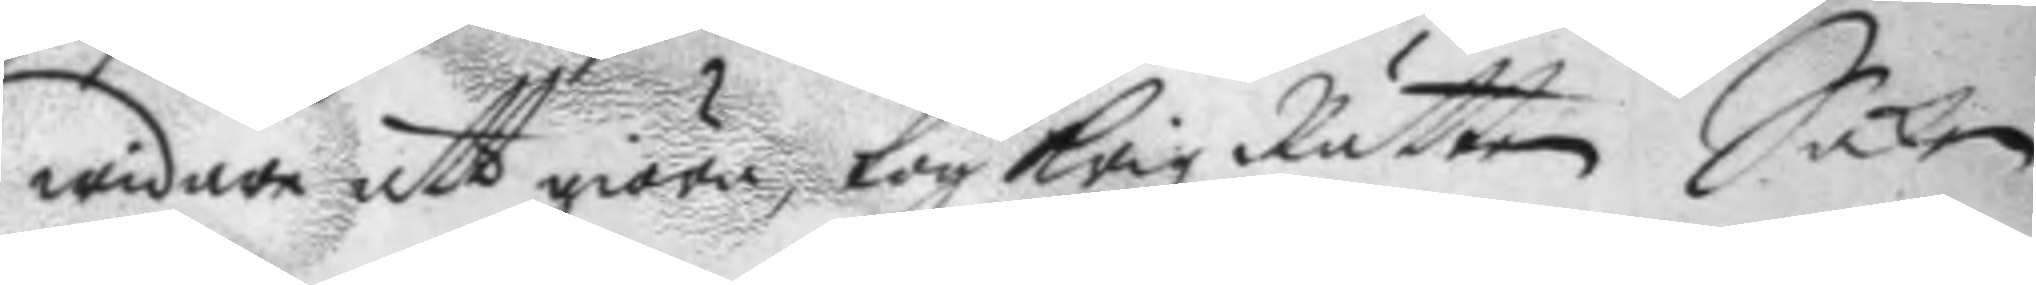widare att giöra, tog Krigz Rätten Saken
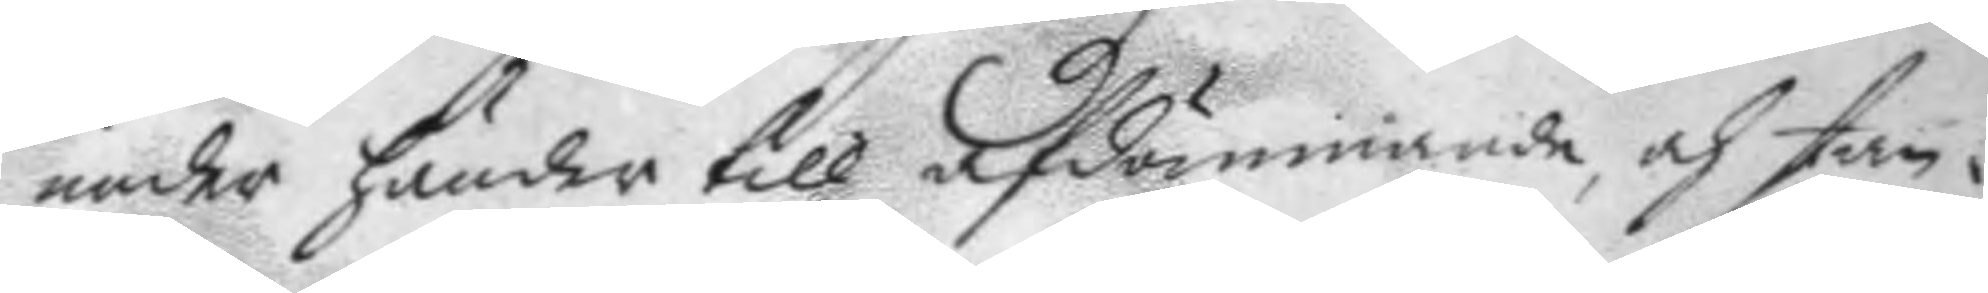under hander till afdömmande, och stan¬
